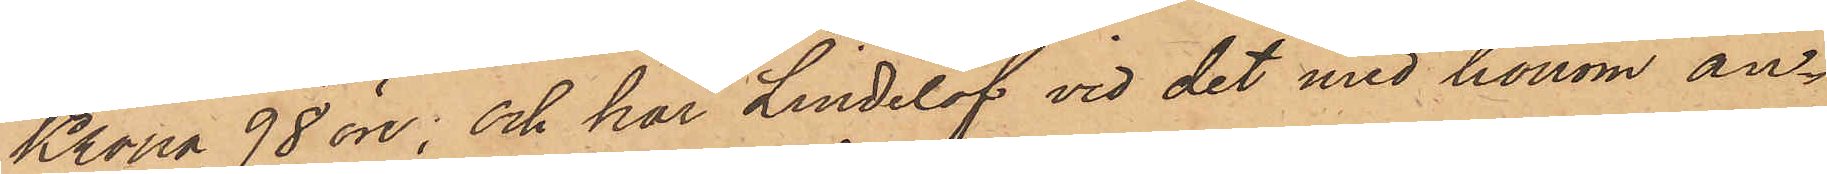Krona 98 öre; och har Lindelöf vid det med honom an¬
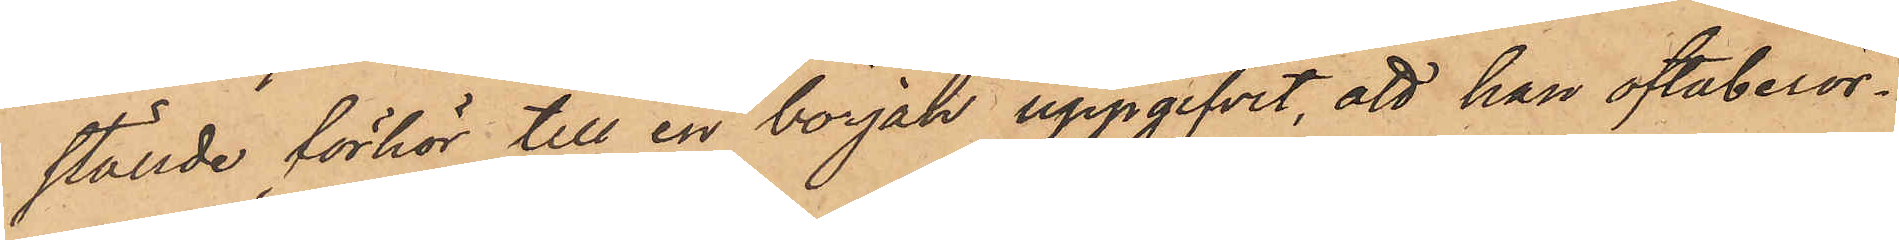ställde förhör till en början uppgifvit, att han oftaberör¬
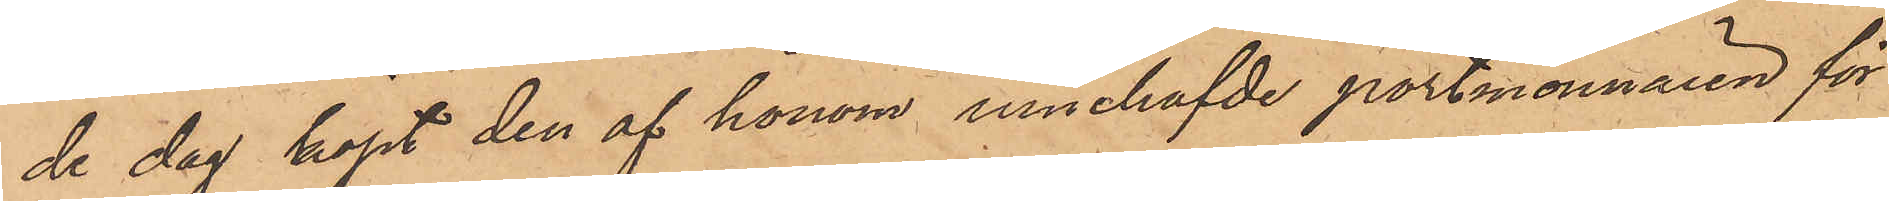de dag köpt den af honom innehafvde portmonnaien för
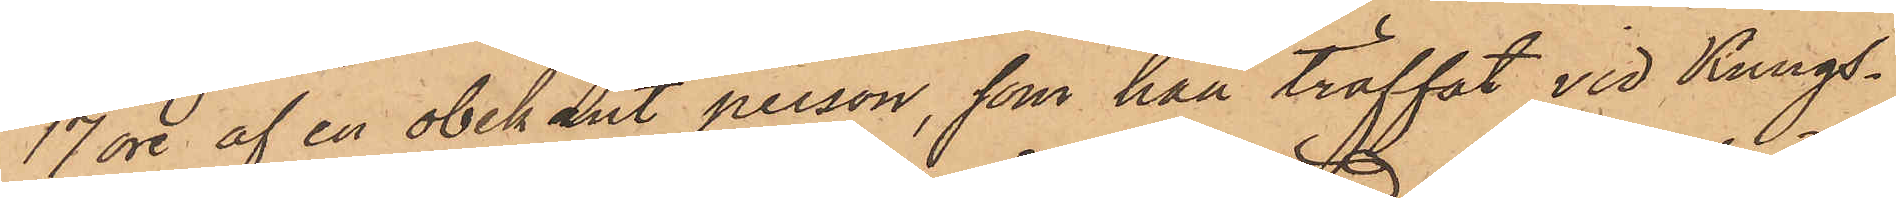17 öre af en obekant person, som han träffat vid Kungs¬
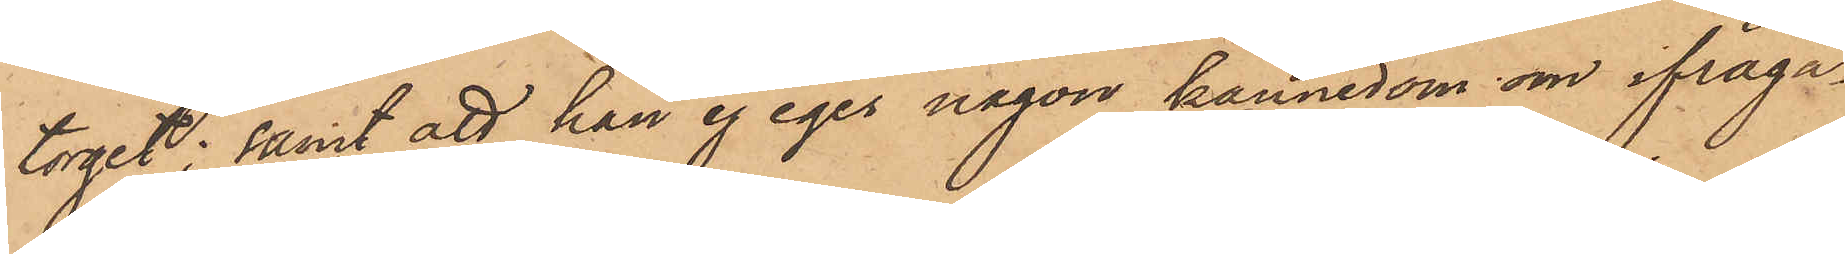torget; samt att han ej eger någon kännedom om ifråga¬
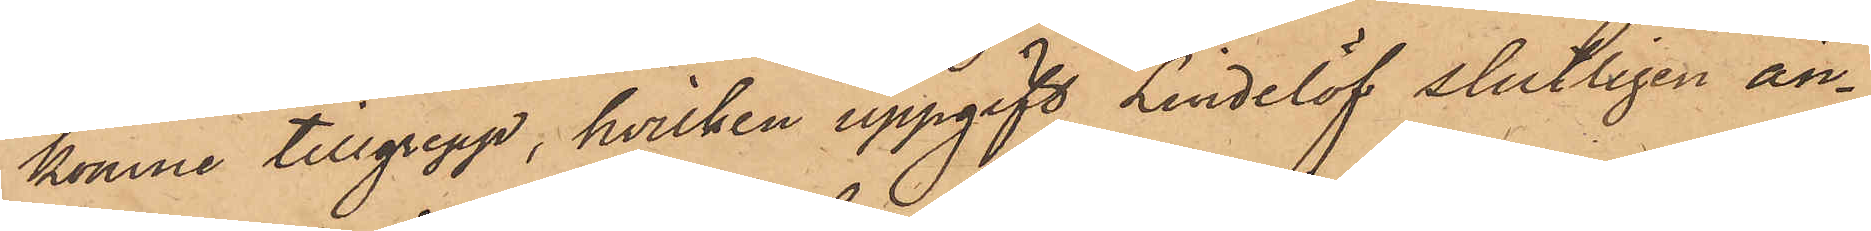komne tillgrepp, hvilken uppgift Lindelöf slutligen än¬
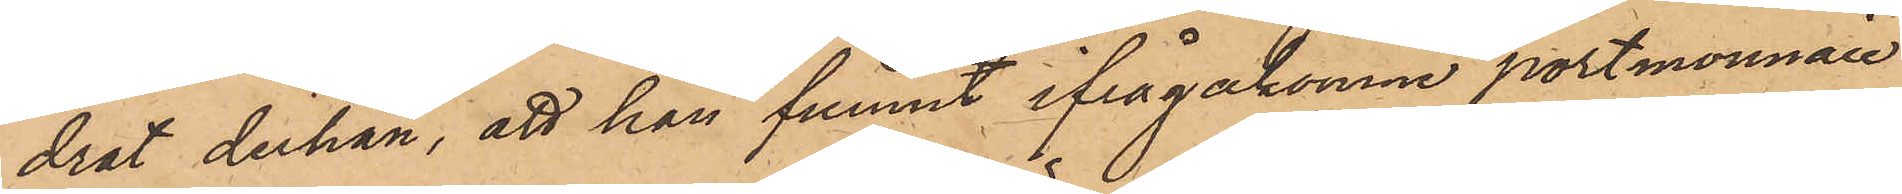drat derhän, att han funnit ifrågakomne portmonnaie
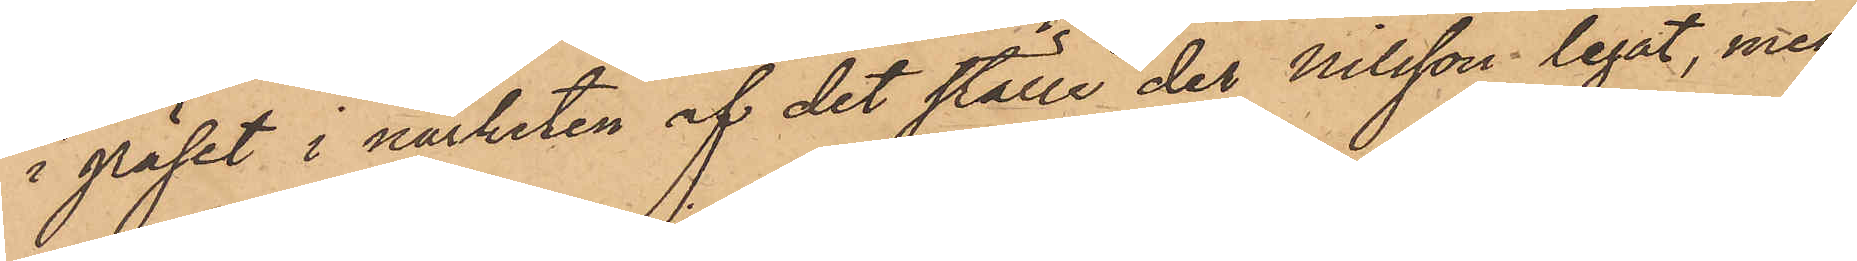i gräset i närheten af det ställe der Nilsson legat, men
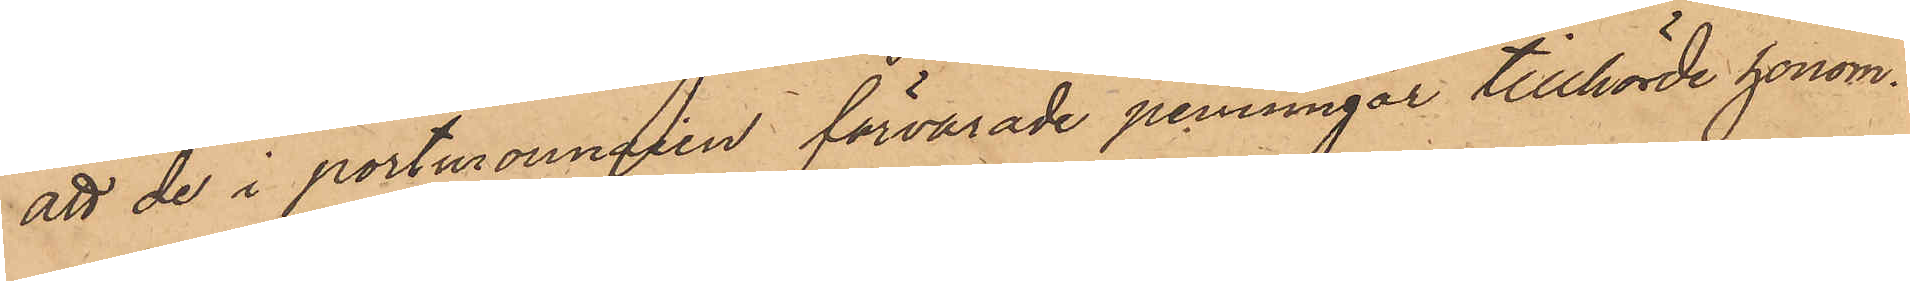att de i portmonnaien förvarade penningar tillhörde honom.
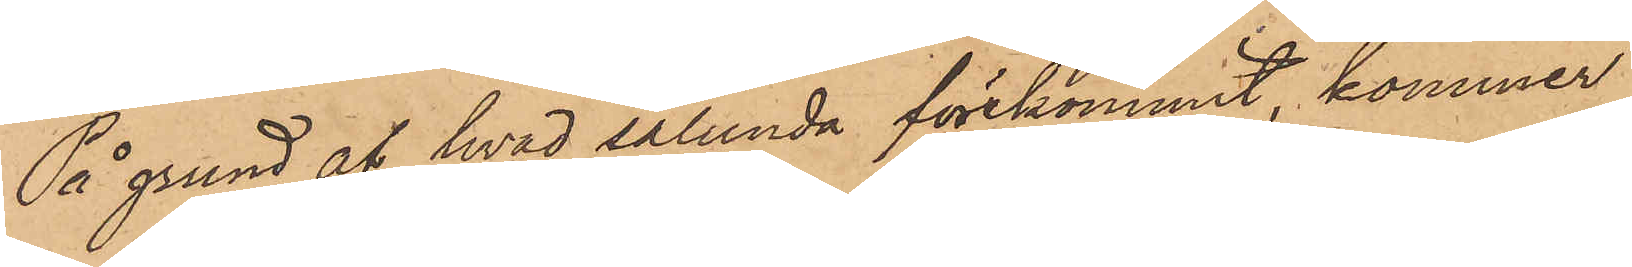På grund af hvad sålunda förekommit, kommer
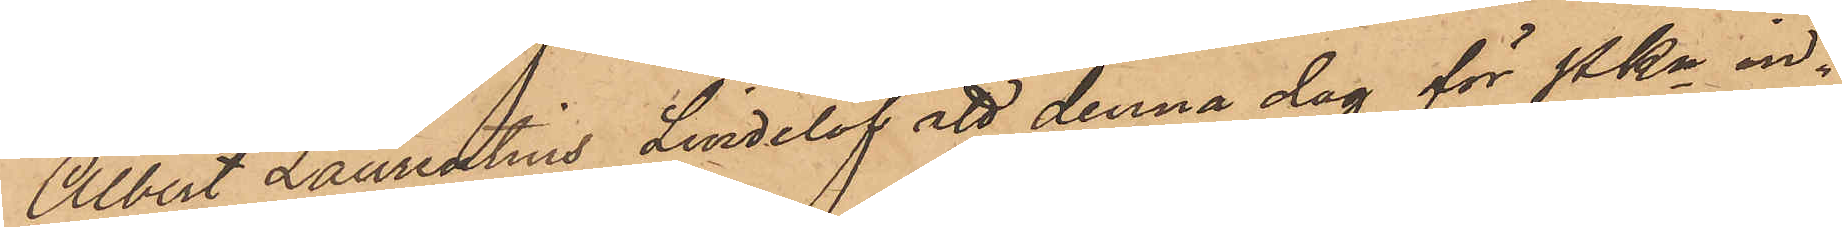Albert Laurentius Lindelöf att denna dag för PKn in¬
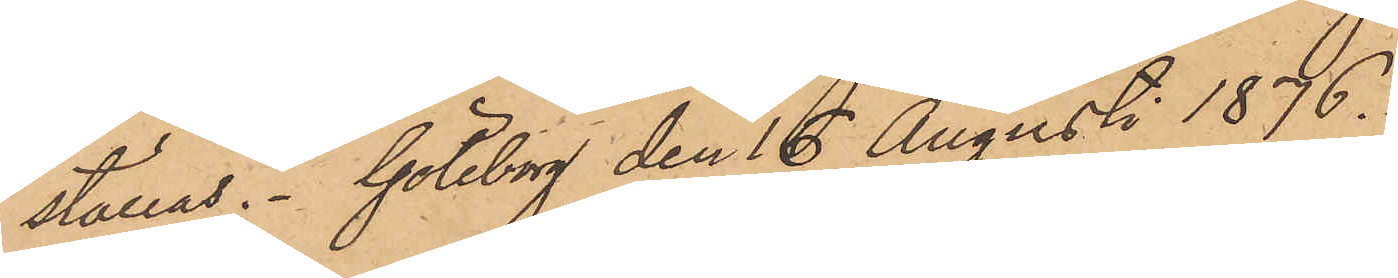ställas. Göteborg den 16 Augusti 1876.
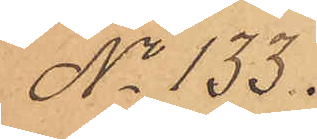No 133.
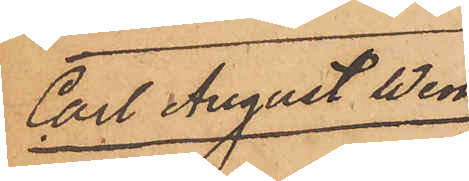Carl August Wen¬
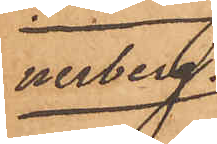nerberg
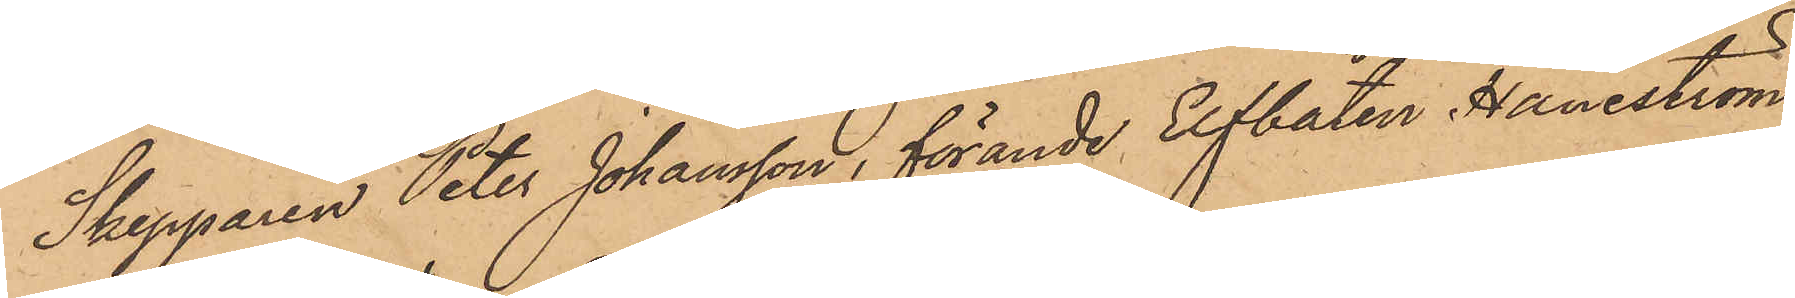Skepparen Peter Johansson, förande Elfbåten Haneström
